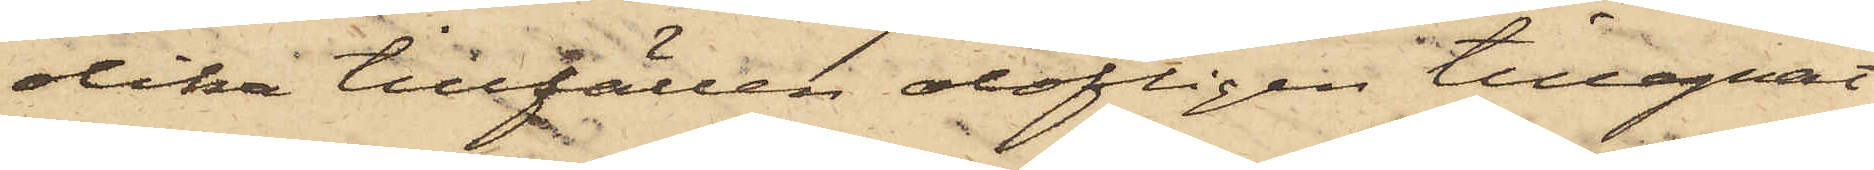olika tillfällen olofligen tillegnat
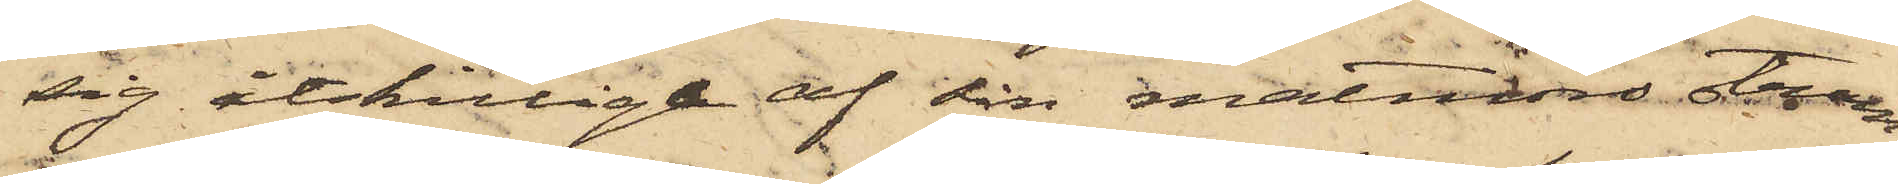sig åtskillige af sin matmors strum¬
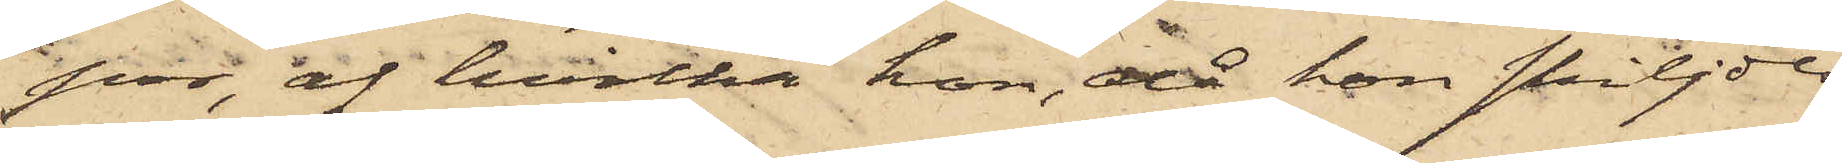por, af hvilka hon, då hon skiljdes
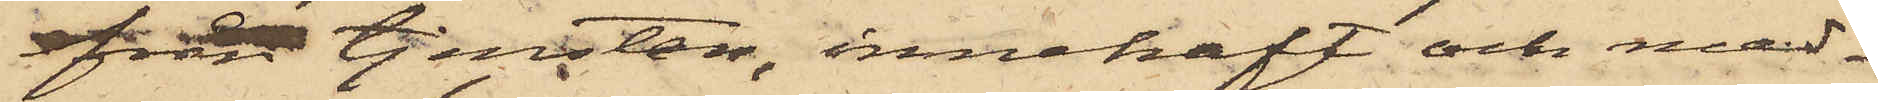från tjensten, innehaft och med¬
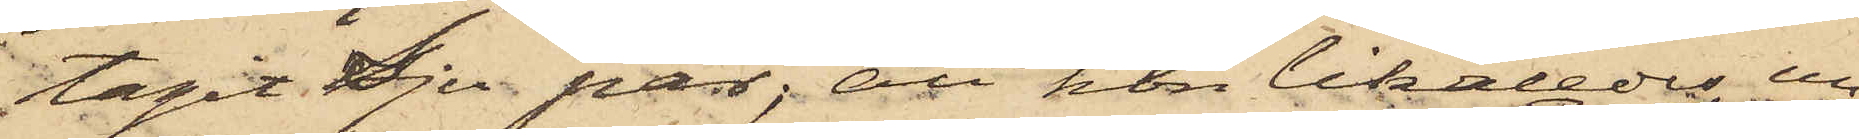tagit Sju par; att hon likaledes un¬
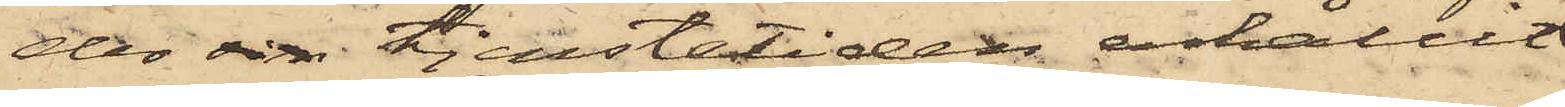der sin tjenstetiden erhållit
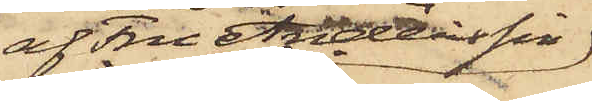af Fru Anderssin
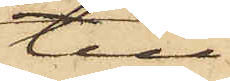till
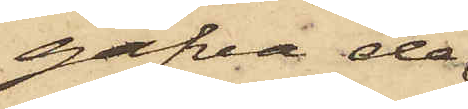gåfva de
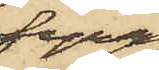fyra
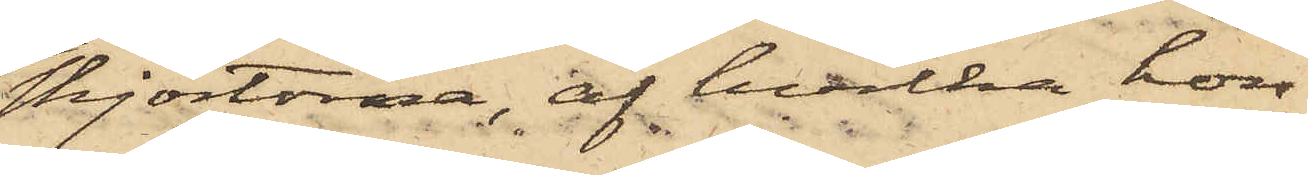skjortorna, af hvilka hon
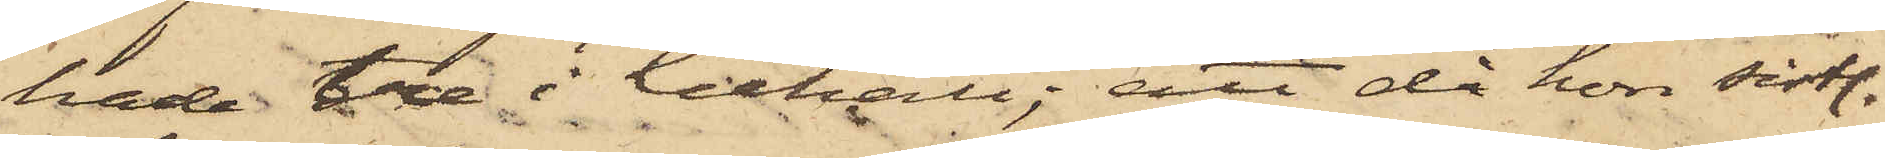hade tre i behåll; att då hon sistl.
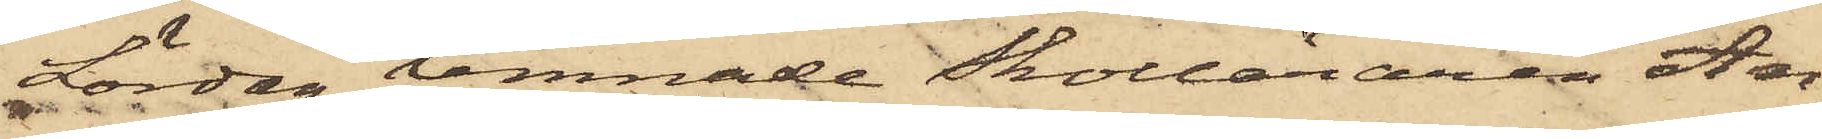Lördag lemnade Skolläraren An¬
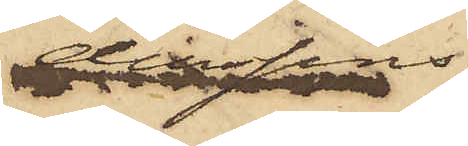derssins
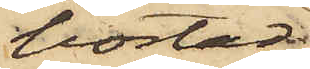bostad
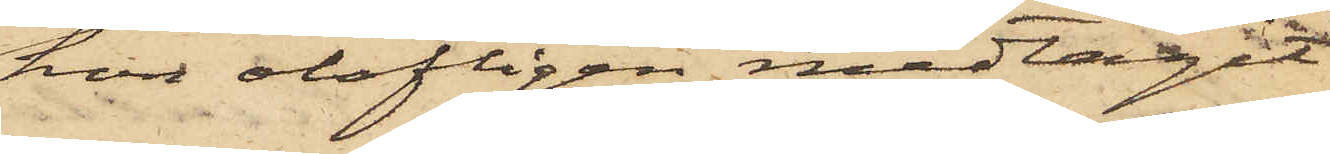hon olofligen medtagit
